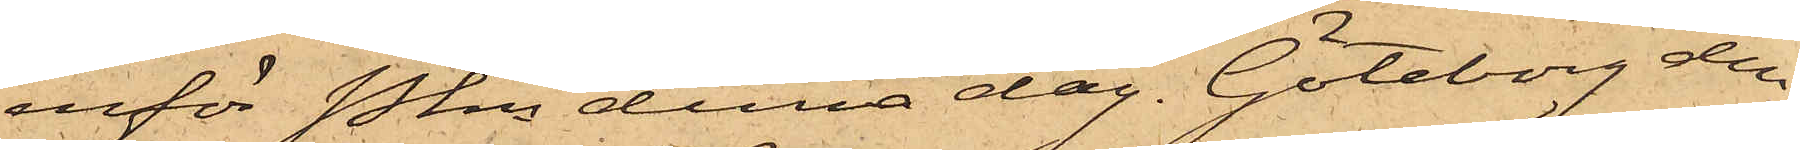inför Pkn denna dag. Göteborg den
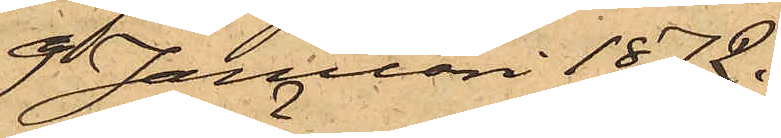9 Januari 1872.
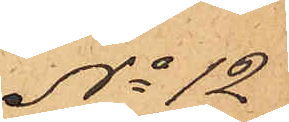No 12
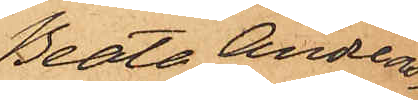Beata Andreas¬
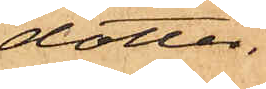dotter.
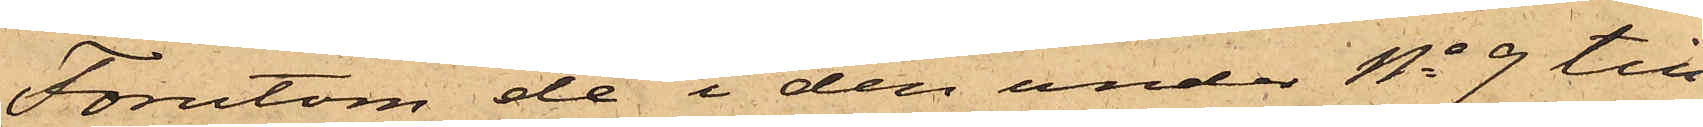Förutom de i den under No 9 till
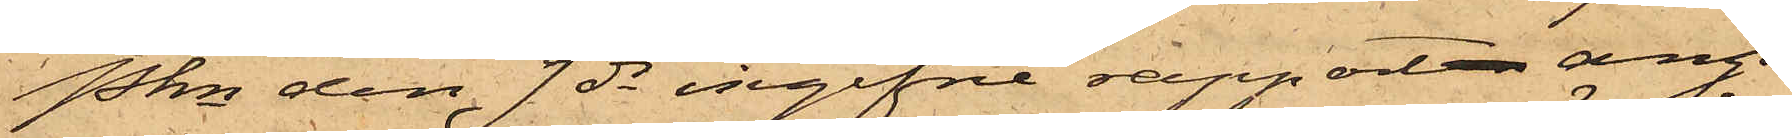Pkn den 9 ds ingifne rapporten angå¬
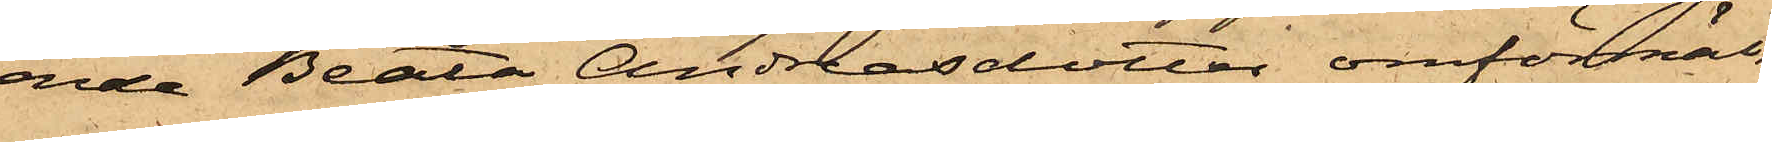ende Beata Andreasdotter omförmäl¬
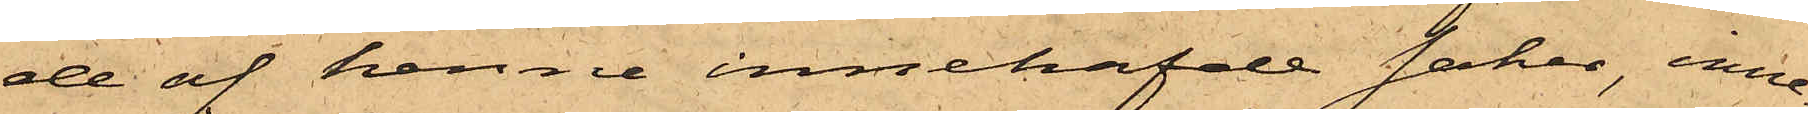de af henne innehafde saker, inne¬
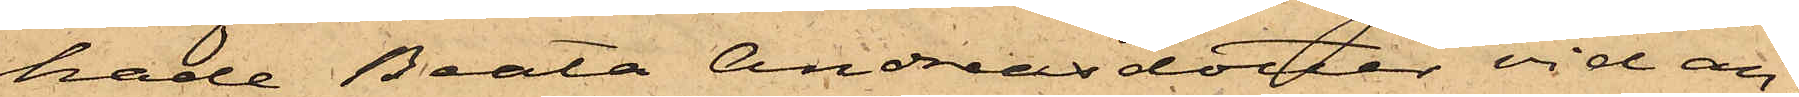hade Beata Andreasdotter vid an¬
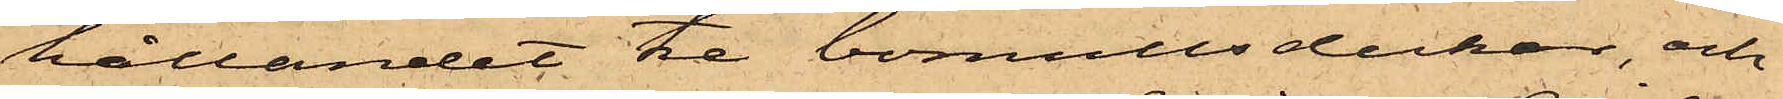hållandet tre bomullsdukar, och
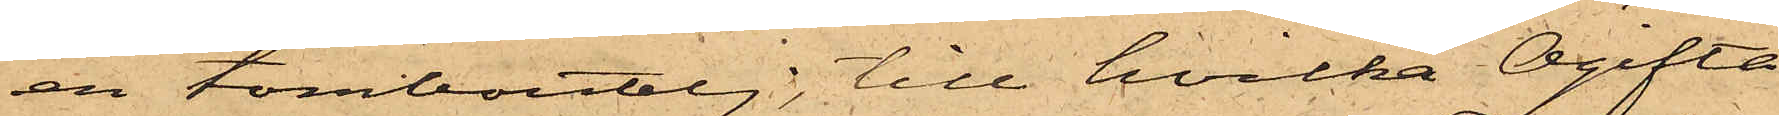en tomboutelj, till hvilka Ogifta
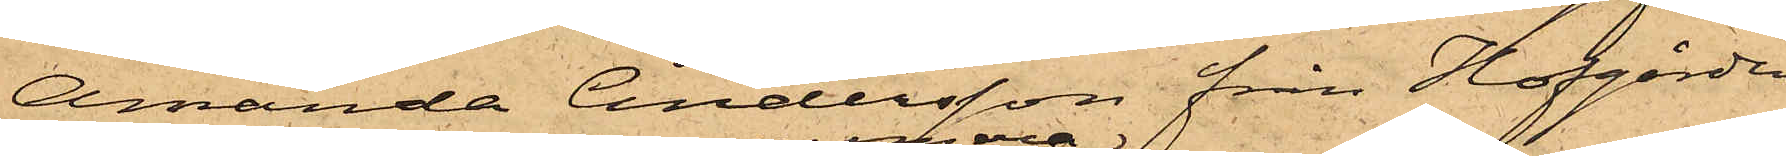Amanda Andersson från Hofgården
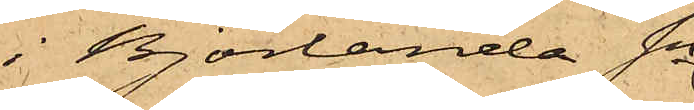i Björlanda Sn
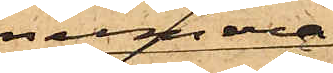numera
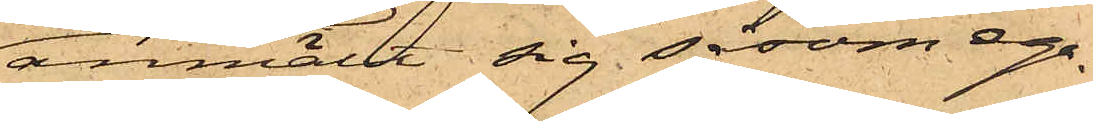anmält sig såsom ega¬
